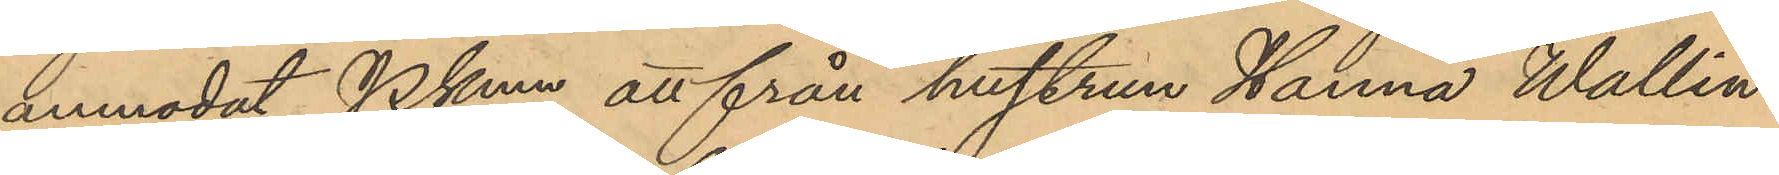anmodat PKmn att från hustrun Hanna Wallin
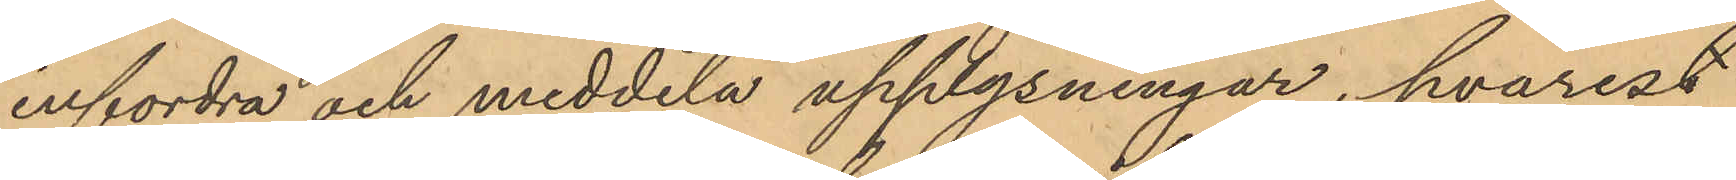infordra och meddela upplysningar, hvarest
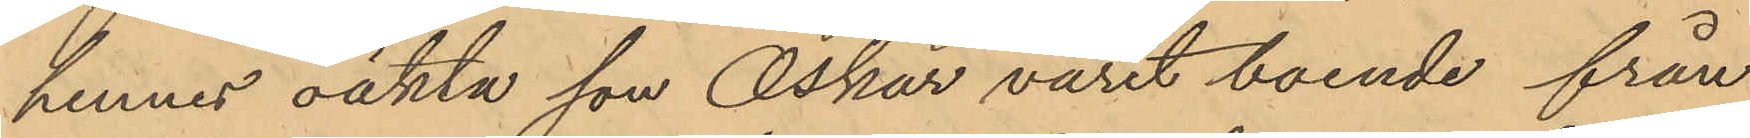hennes oäkta son Oskar varit boende från
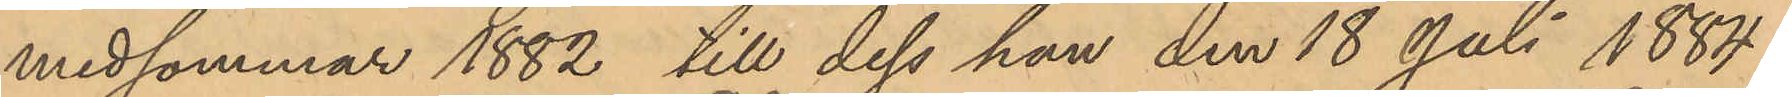medsommar 1882 till dess han den 18 Juli 1884
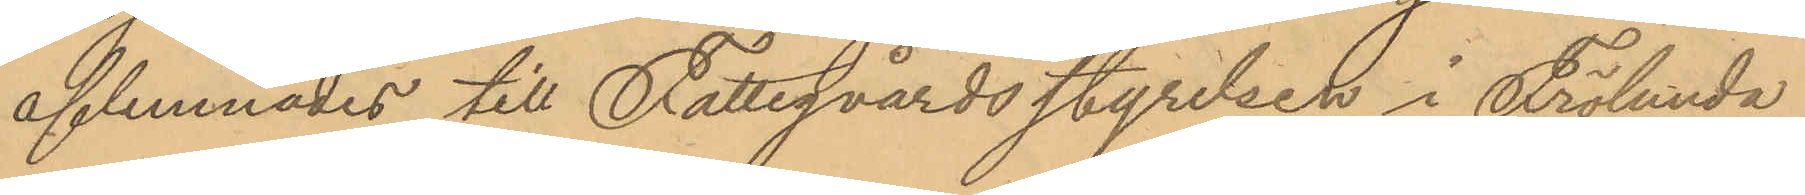aflemnades till Fattigvårdsstyrelsen i Frölunda
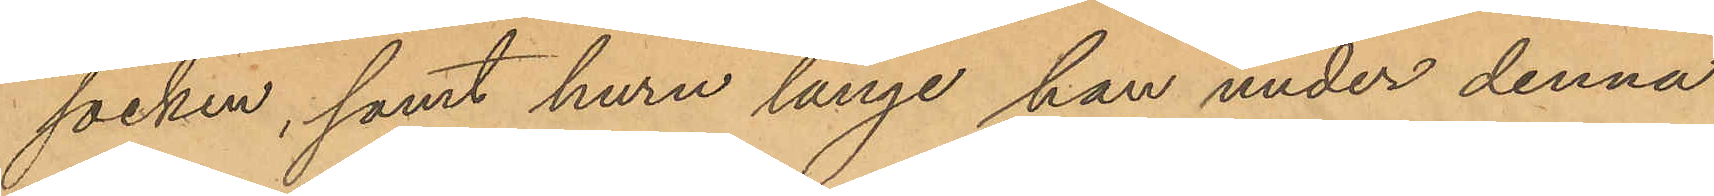socken, samt huru länge han under denna
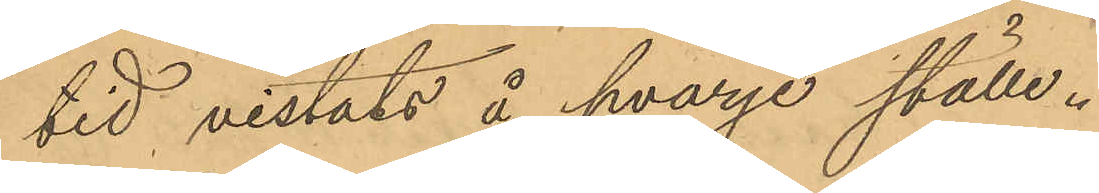tid vistats å hvarje ställe.
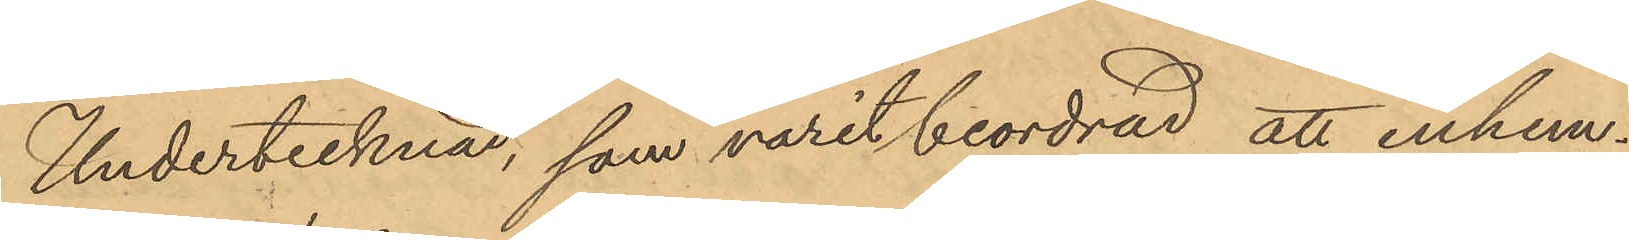Undertecknad, som varit beordrad att inhem¬
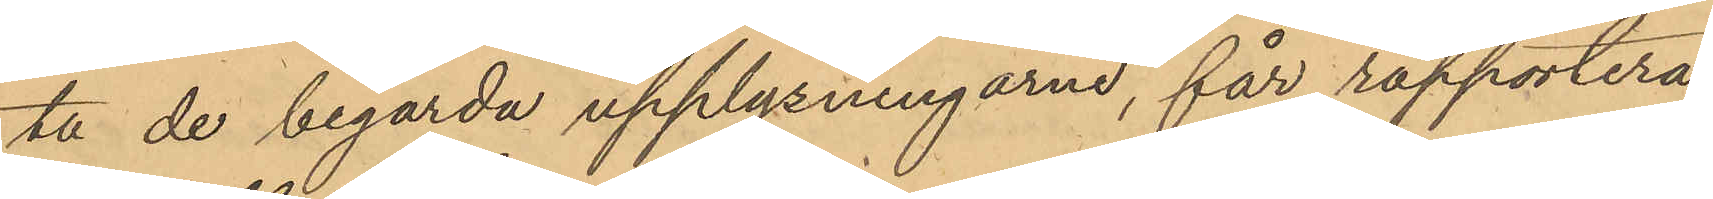ta de begärda upplysningarne, får rapportera,
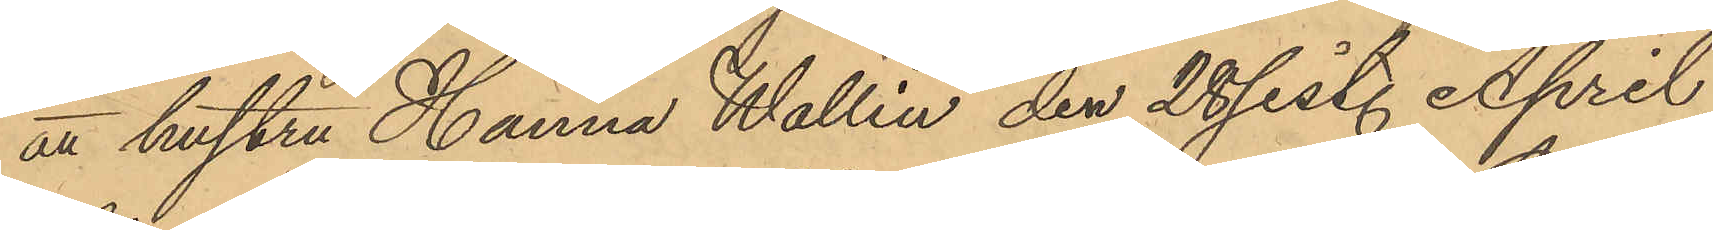att hustru Hanna Wallin den 28 sist. April,
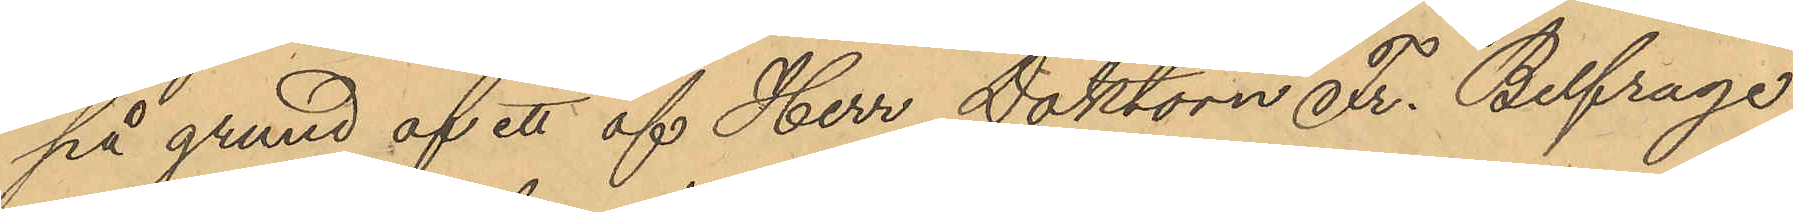på grund af ett af Herr Doktorn Fr. Belfrage
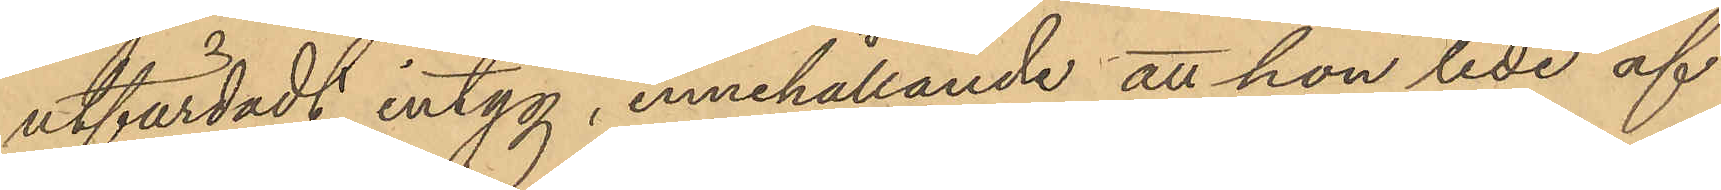utfärdadt intyg, innehållande att hon lede af
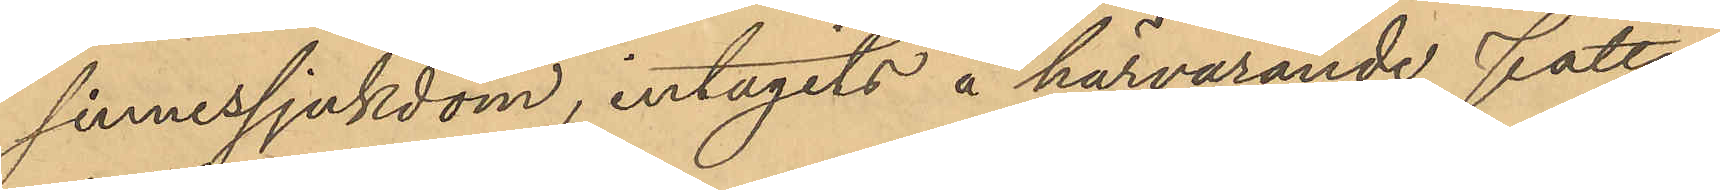sinnessjukdom, intagits å härvarande fattig¬
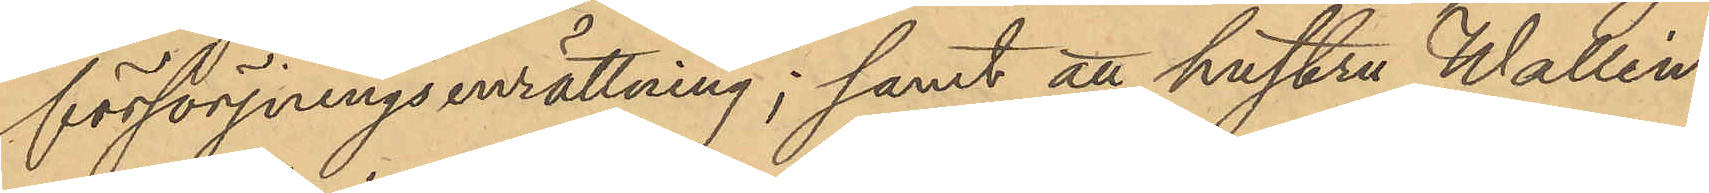försörjningsenrättning; samt att hustru Wallin
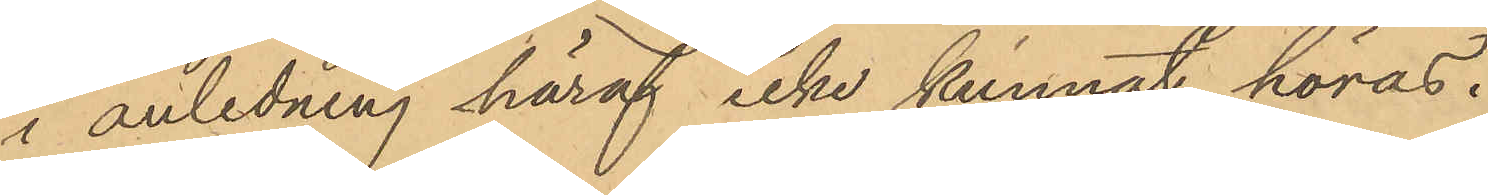i anledning häraf icke kunnat höras.
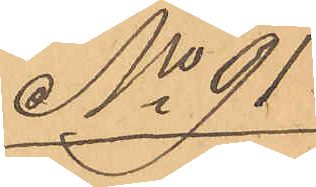No 91
